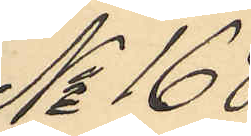No 168
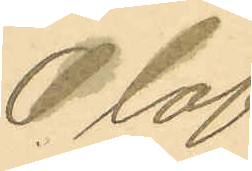Olof
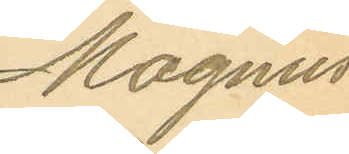Magnus
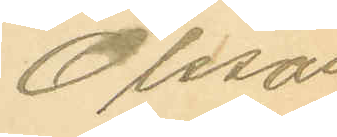Olsson
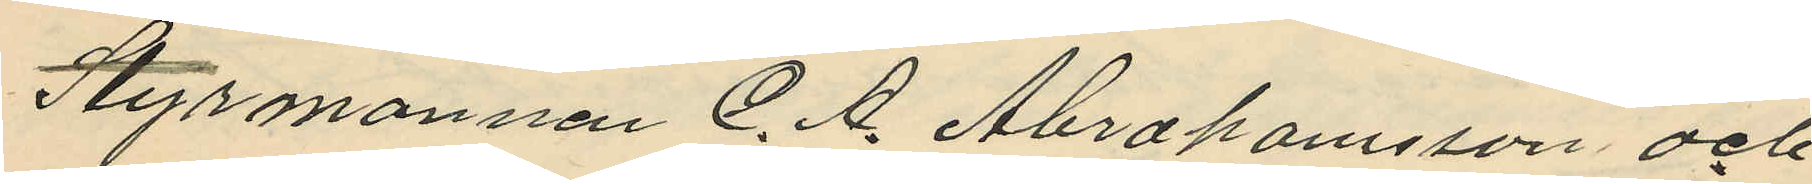Styrmannen C. A. Abrahamsson och
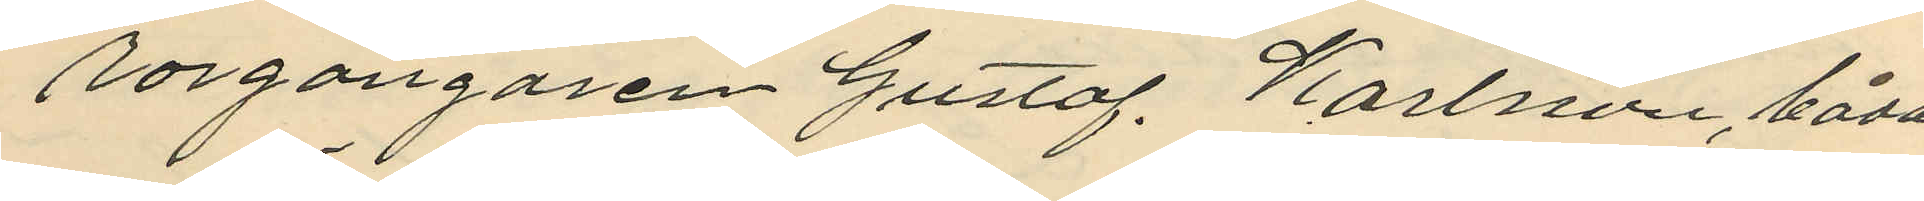rorgängaren Gustaf. Karlsson, båda
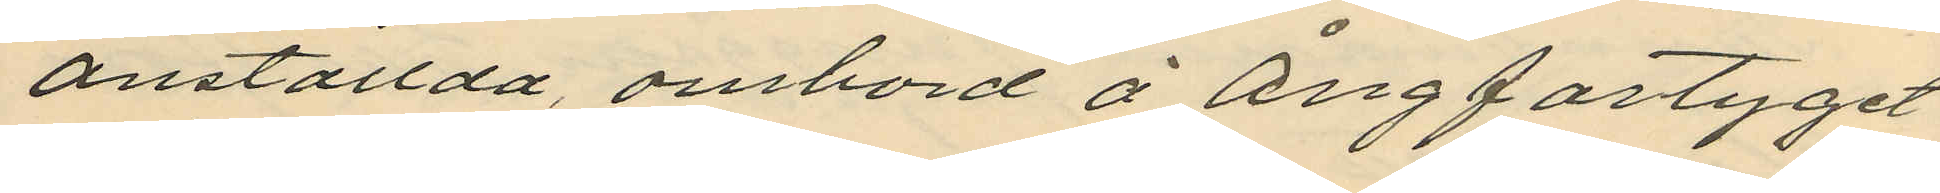anställda, ombord å Ångfartyget
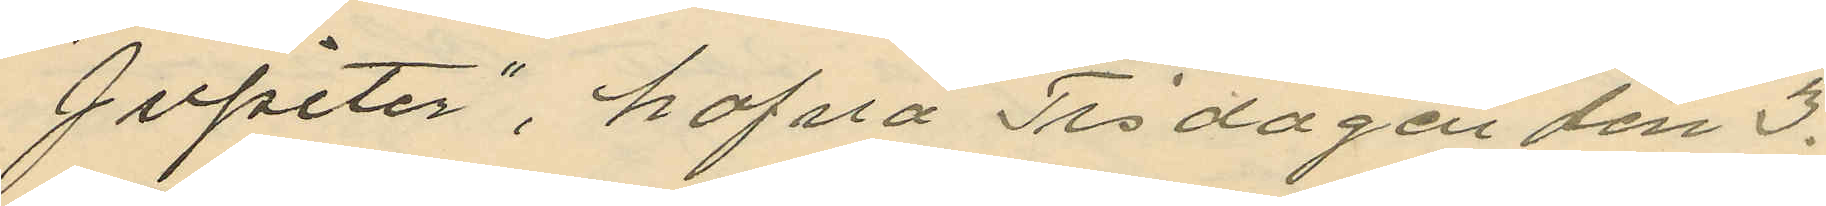"Jupiter", hafva Tisdagen den 3.
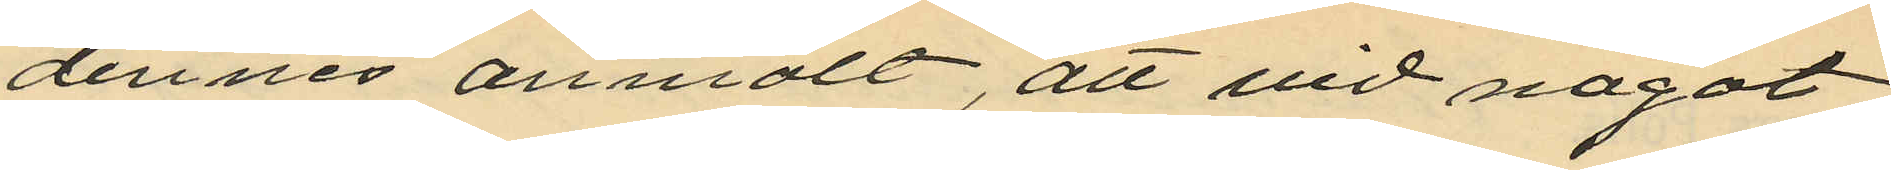dennes anmält, att vid något
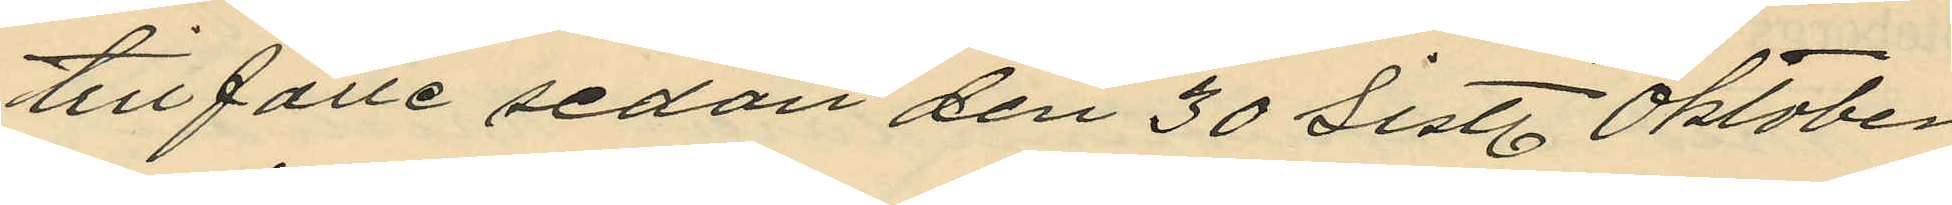tillfälle sedan den 30 sistl. Oktober
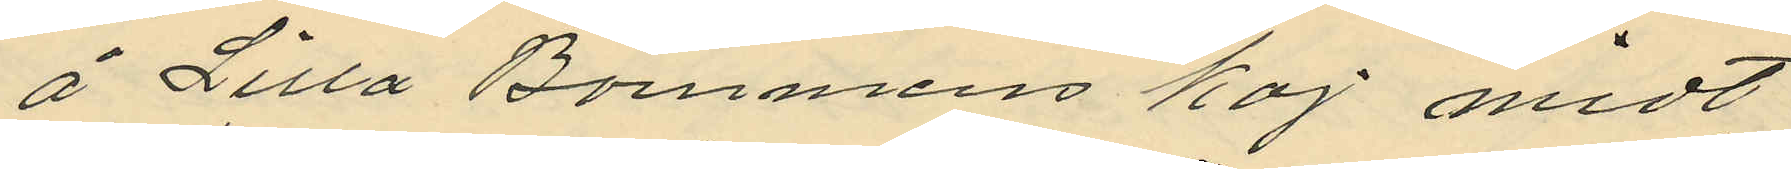å Lilla Bommens kaj midt¬
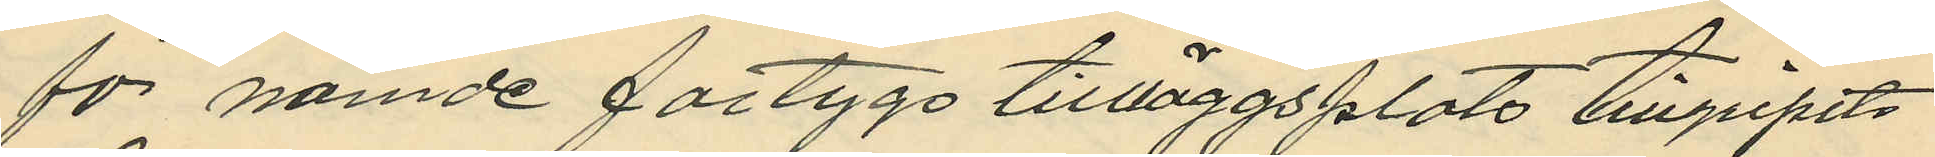för nämde fartygs tillläggsplats tillgripits
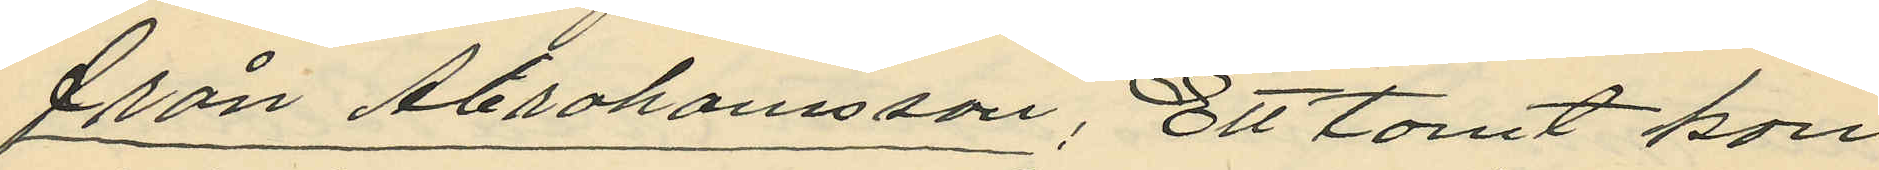från Abrahamsson: Ett tomt kon
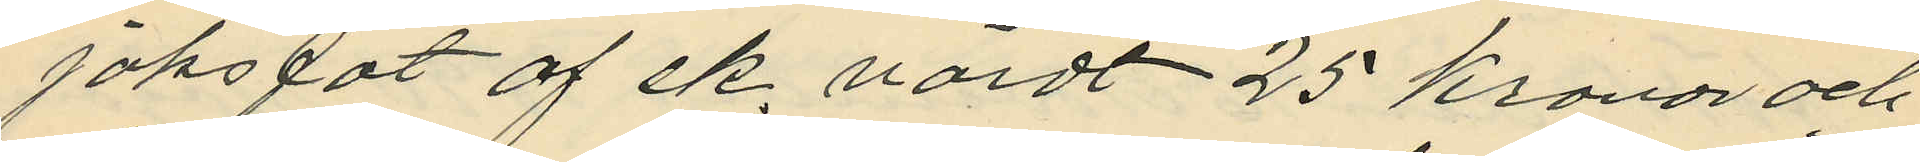jaksfat af ek, värdt 25 Kronor och
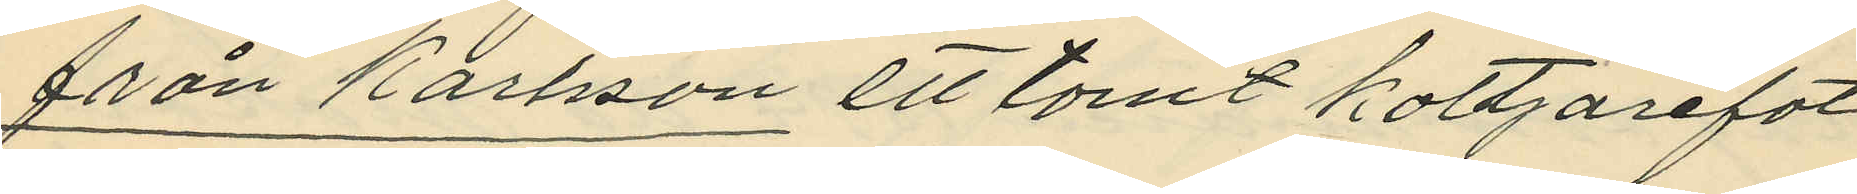från Karlsson ett tomt koltjärefat
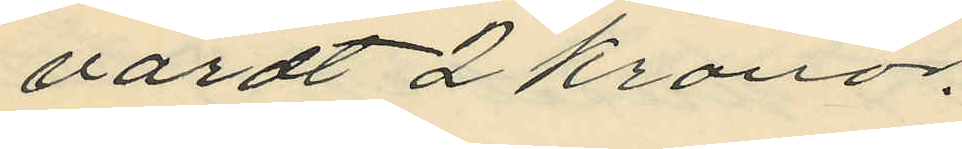värdt 2 Kronor.
